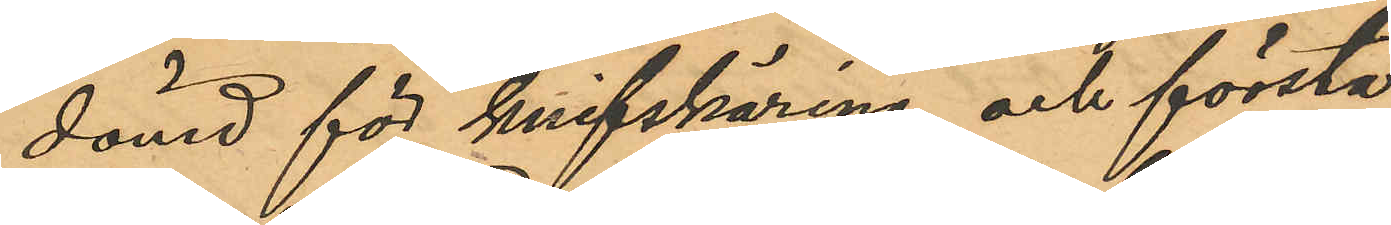dömd för knifskäring och första
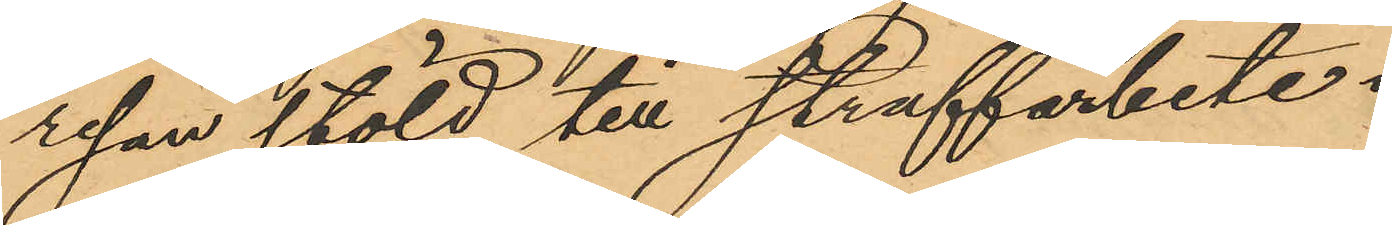resan stöld till straffarbete i
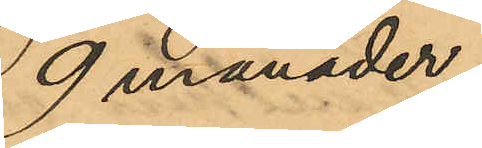9 månader;
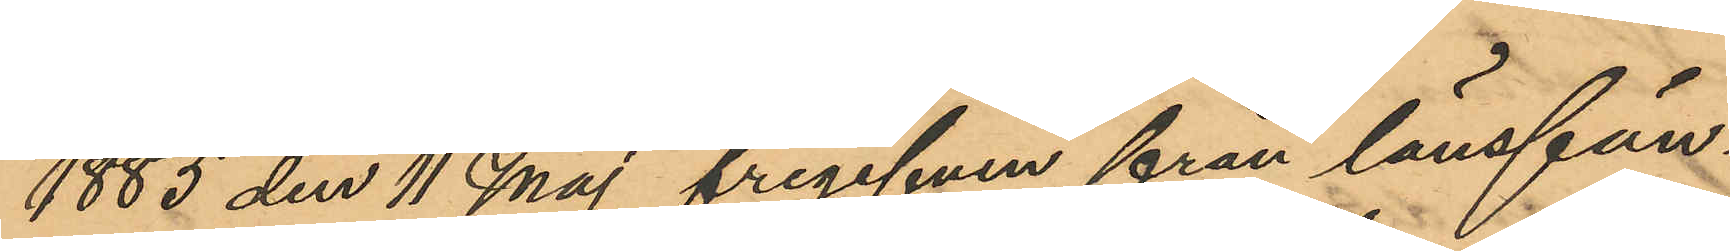1885 den 11 Maj frigifven från länsfän¬
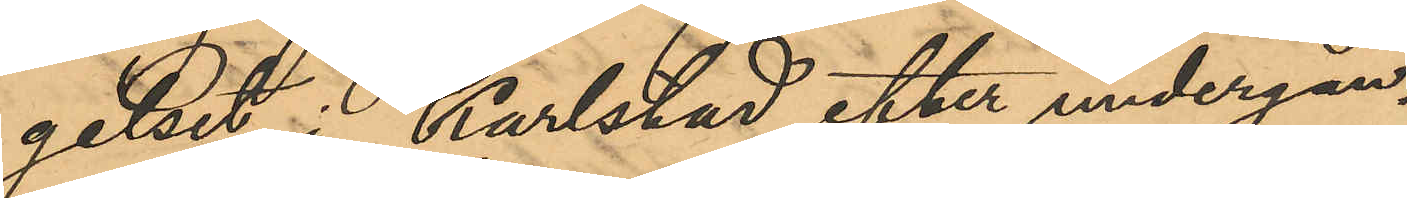gelset i Karlstad efter undergån¬
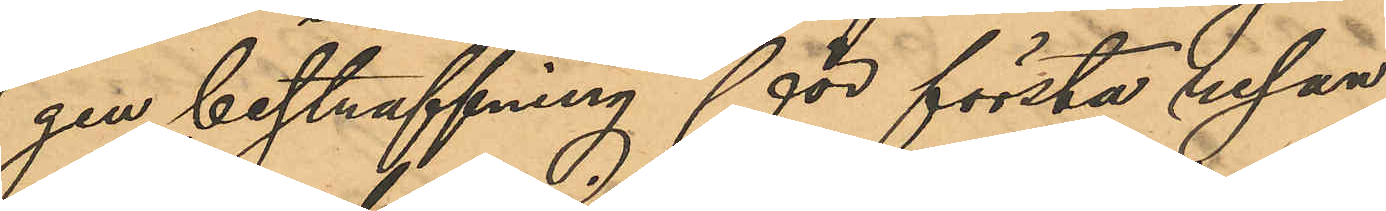gen bestraffning för första resan
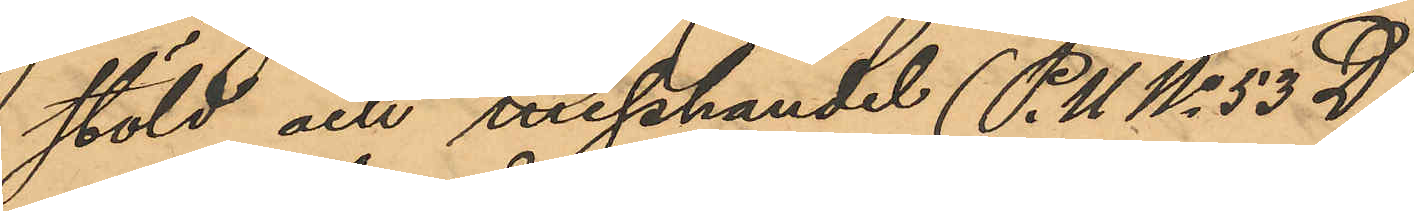stöld och misshandel (P.U No 53D)
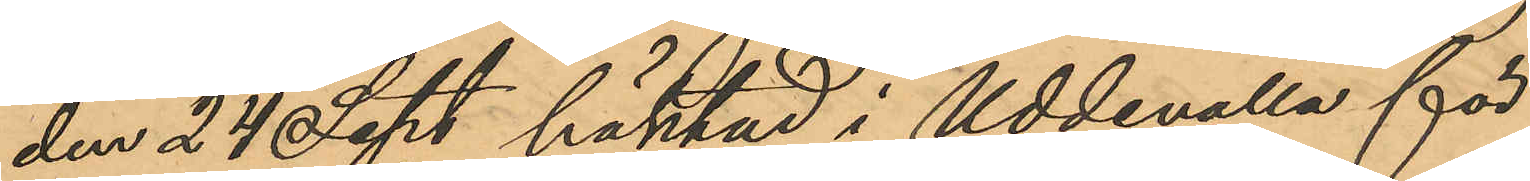den 24 Sept häktad i Uddevalla för
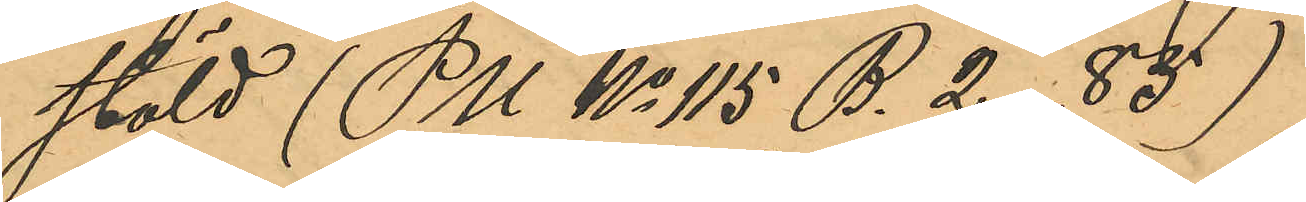stöld (PU No 115 B. 2 -85)
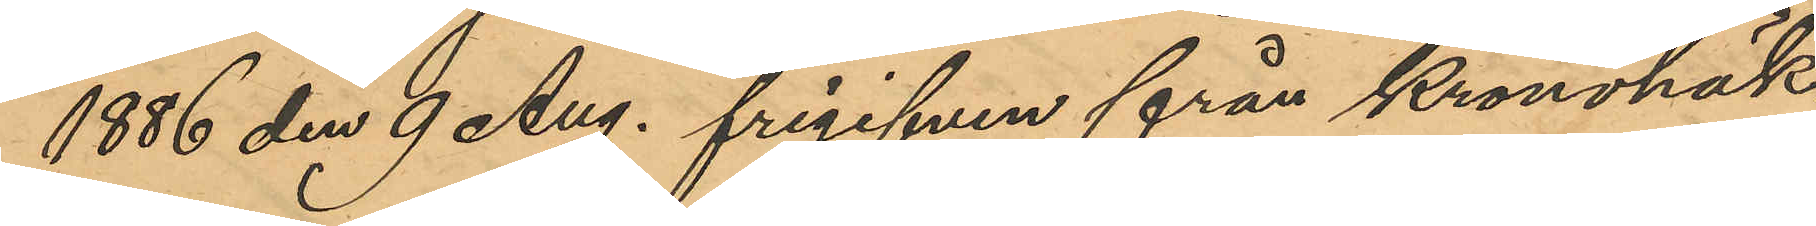1886 den 9 Aug. frigifven från Kronohäk¬
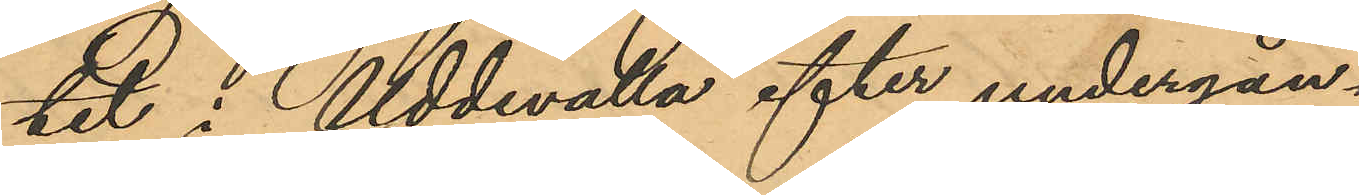tet i Uddevalla efter undergån¬
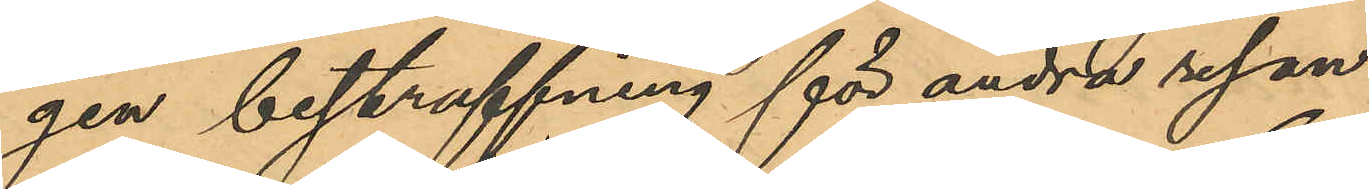gen bestraffning för andra resan
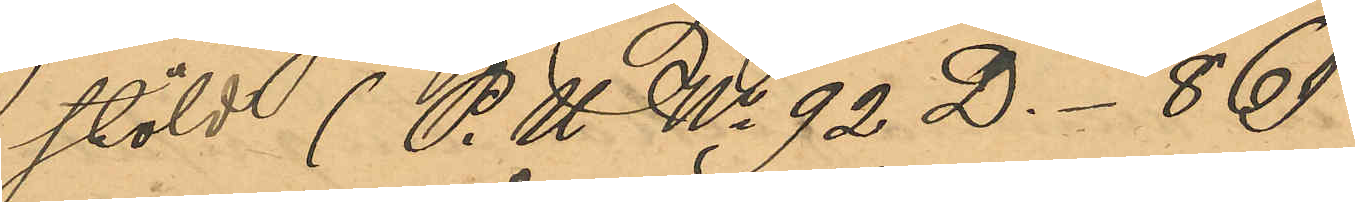stöld (P.U. No 92 D.-86)
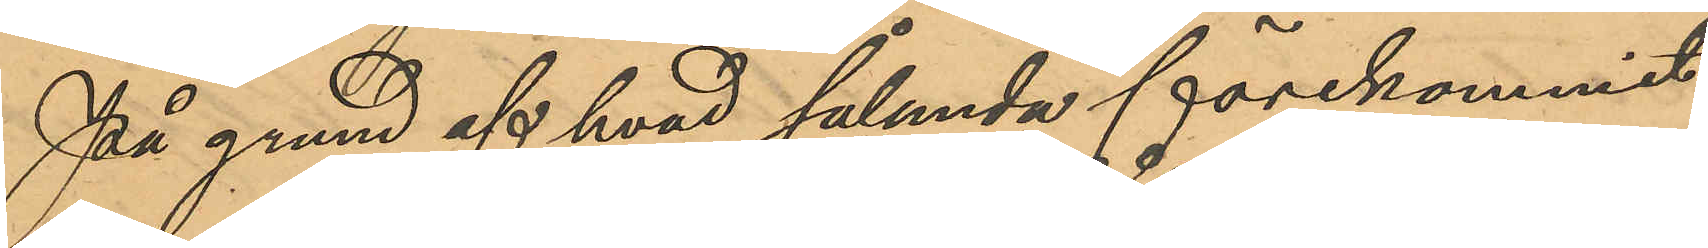På grund af hvad sålunda förekommit
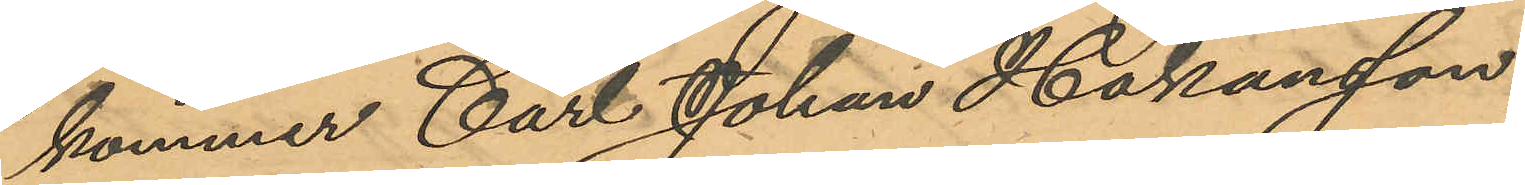kommer Carl Johan Håkansson,
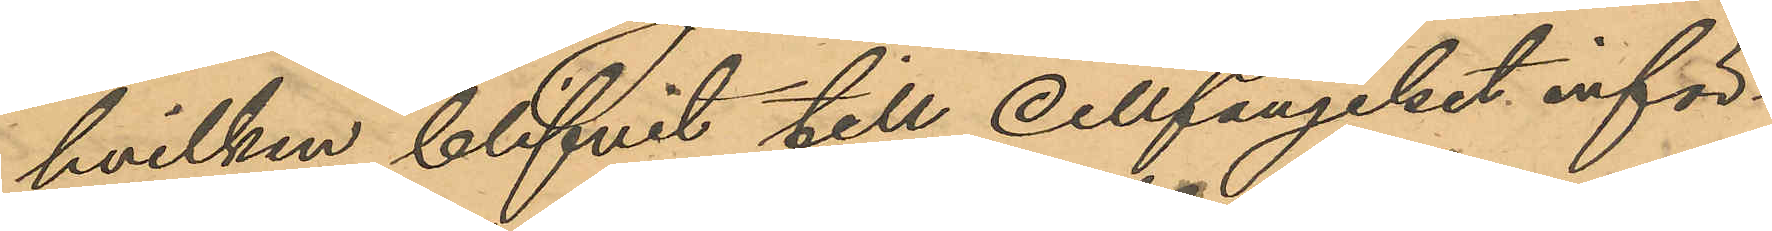hvilken blifvit till cellfängelset inför¬
